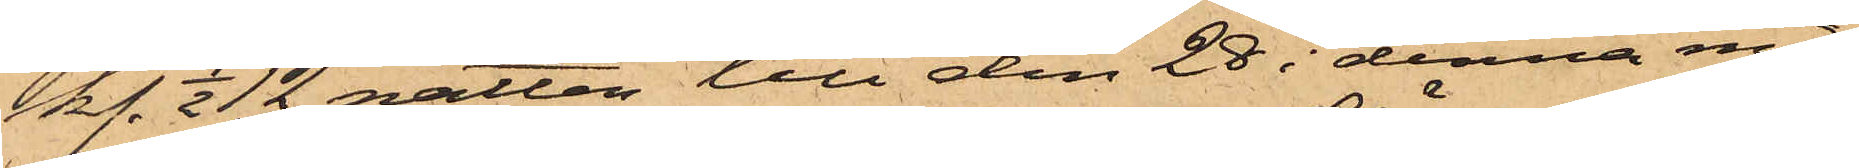kl. 1/2 12 natten till den 28 i denna må¬
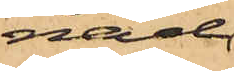nad
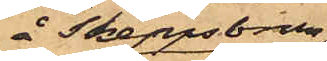å Skeppsbron
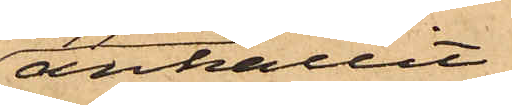anhållit
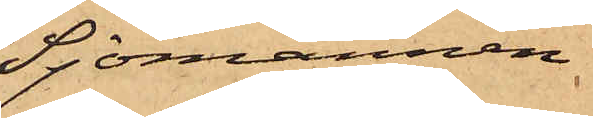Sjömannen
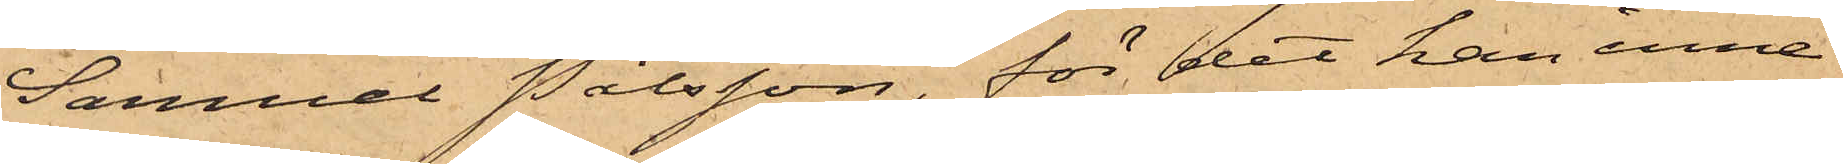Samuel Pålsson, för det han inne¬
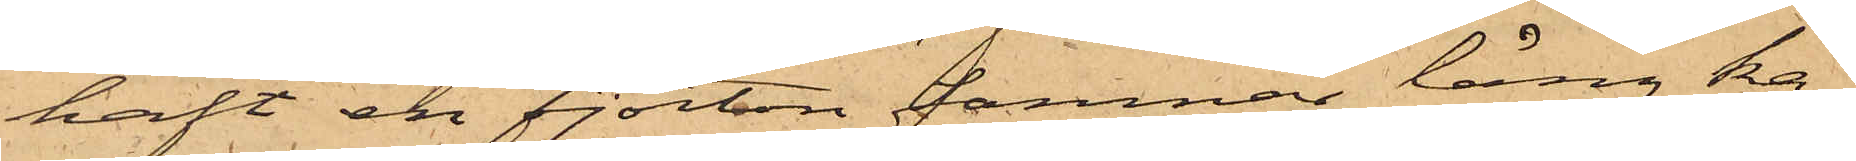haft en fjorton famnar lång ka¬
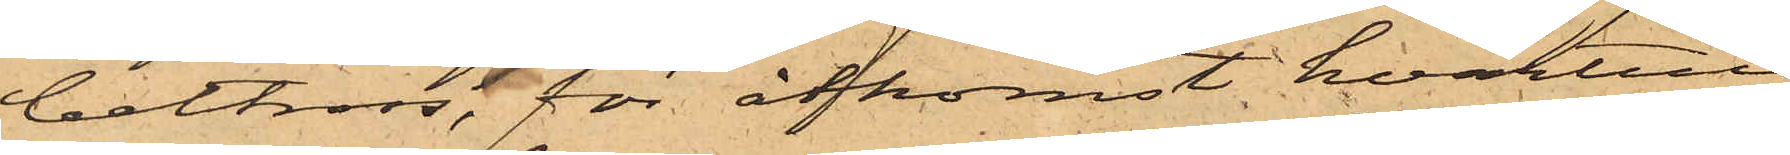beltross, för åtkomst hvartill
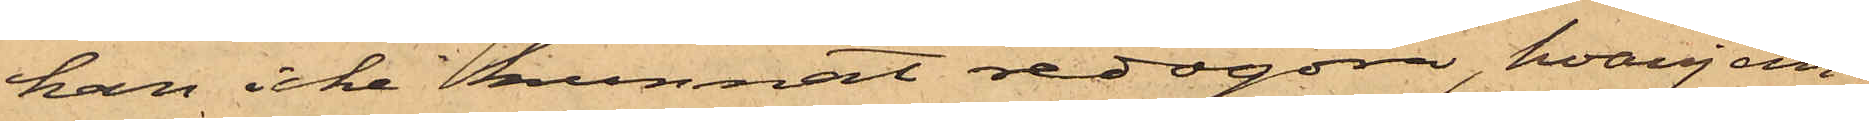han icke kunnat redogöra, hvarjem¬
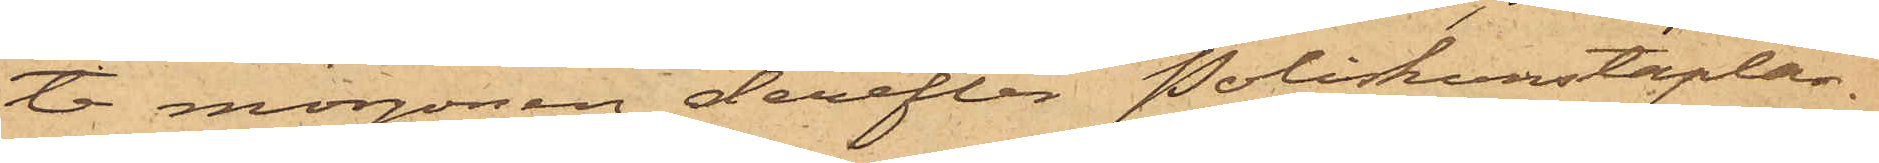te morgonen derefter Poliskonstaplar¬
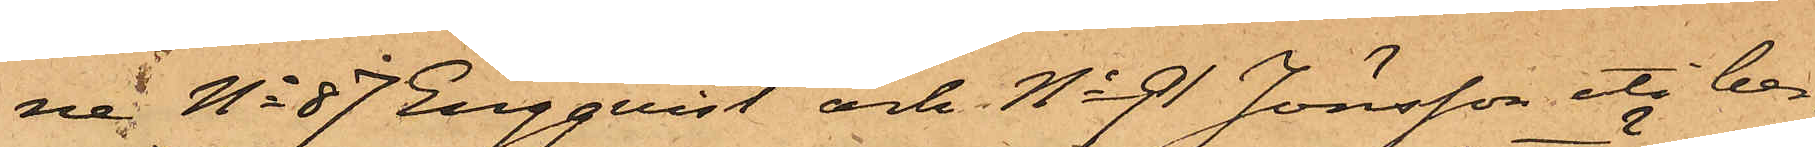ne No 87 Engquist och No 91 Jönsson uti ber¬
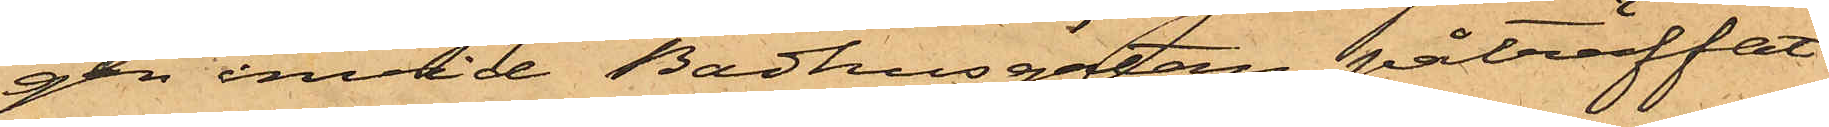gen invid Badhusgatan påträffat
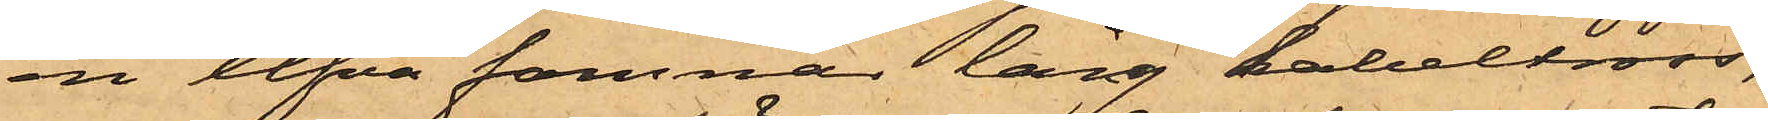en elfva famnar lång kabeltross,
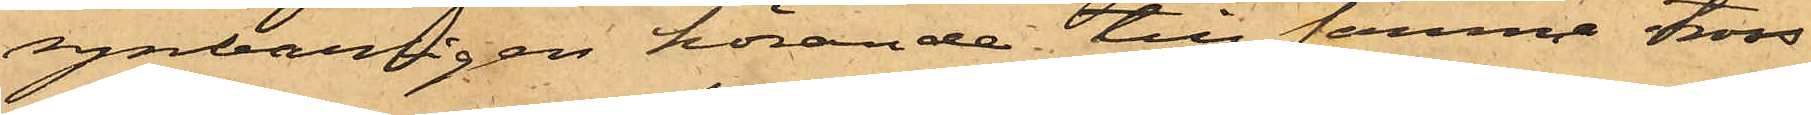uppenbarligen hörande till samma tross
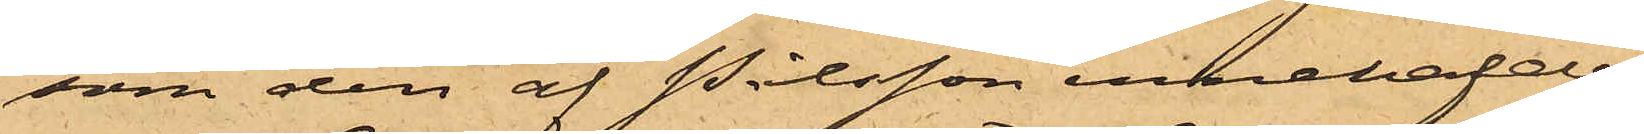som den af Pålsson innehafde.
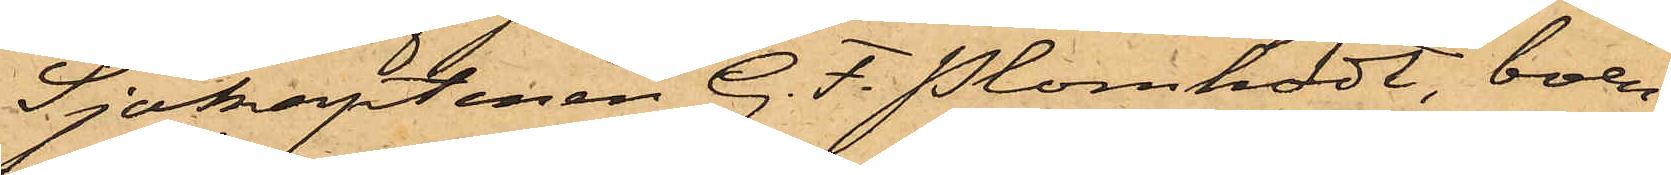Sjökaptenen G. F. Plomholdt, boen¬
